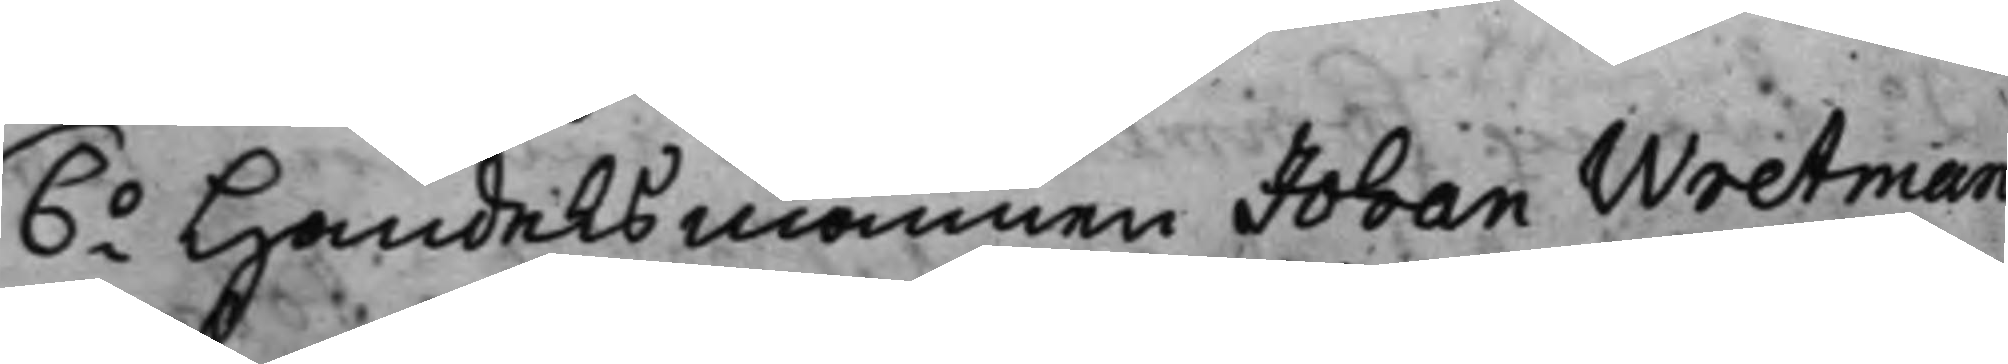6.o Handelsmannen Johan Wretman
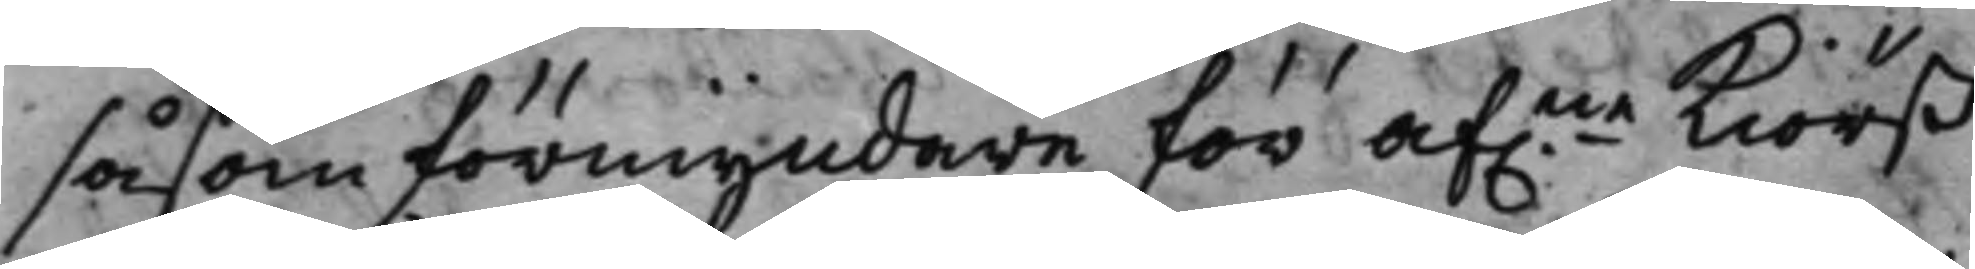såsom förmyndare för af:ne Kiörß¬
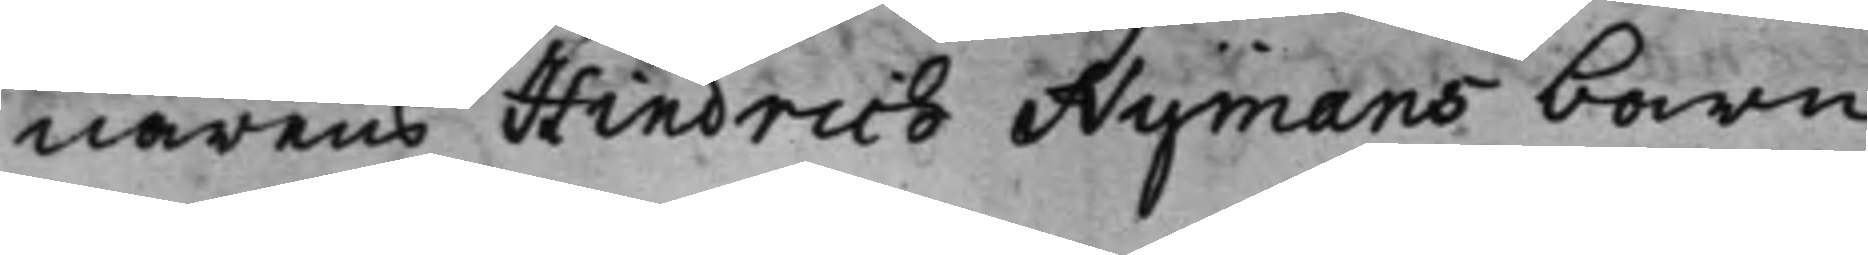närens Hindrich Nymans barn;
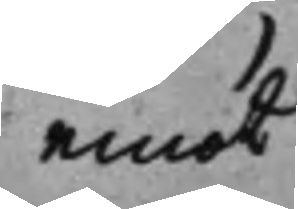emot
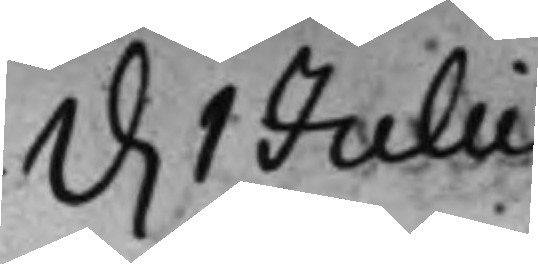d. 1 Julii
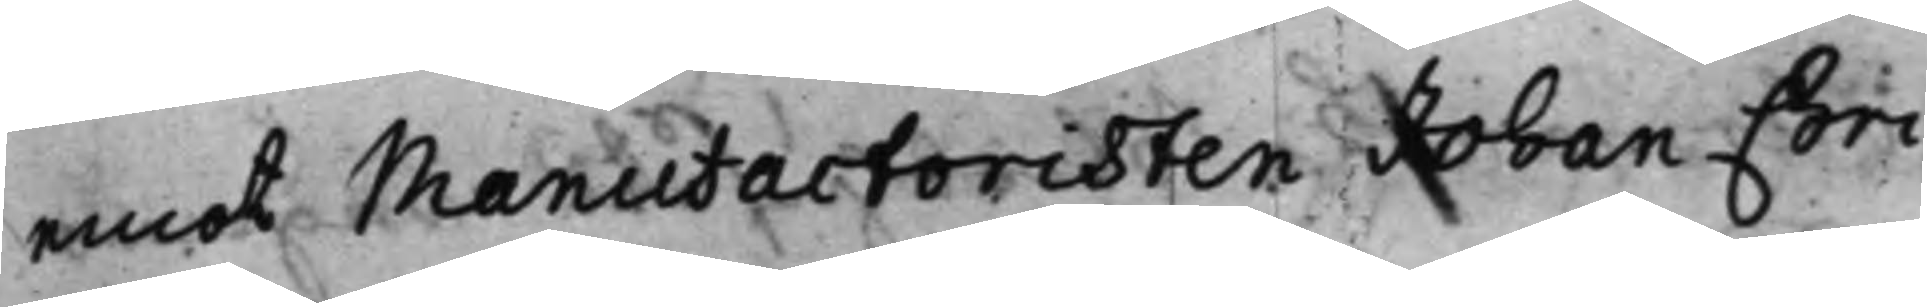emot Manufactoristen Joban Chri¬
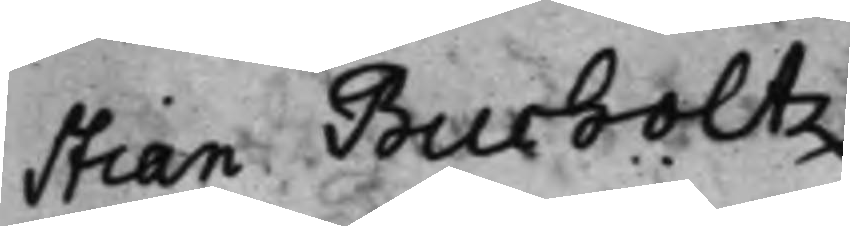stian Burholtz.
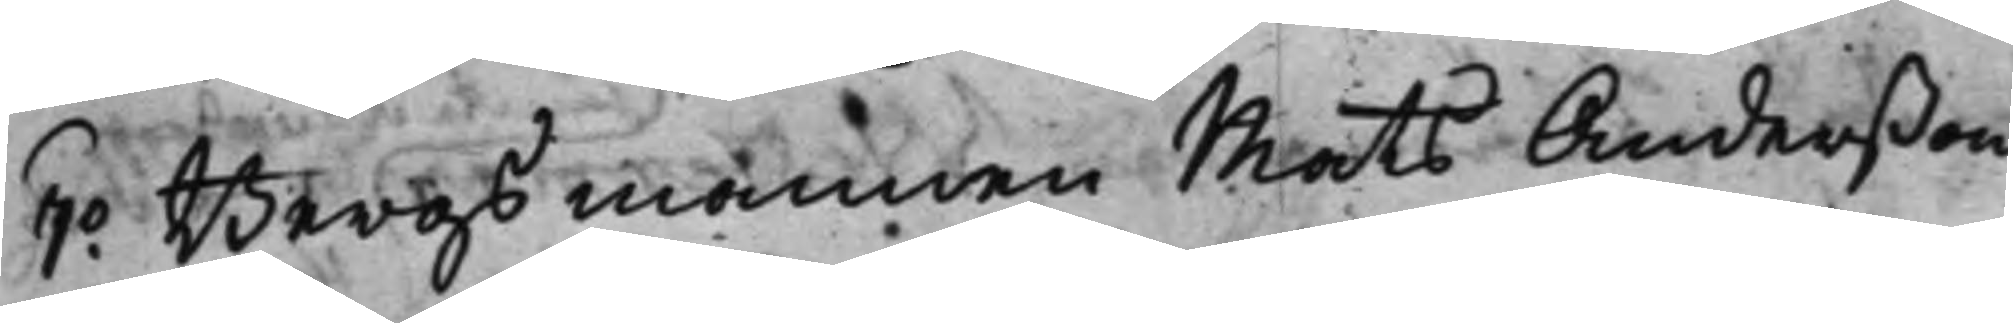7.o Bergsmannen Mats Anderßon
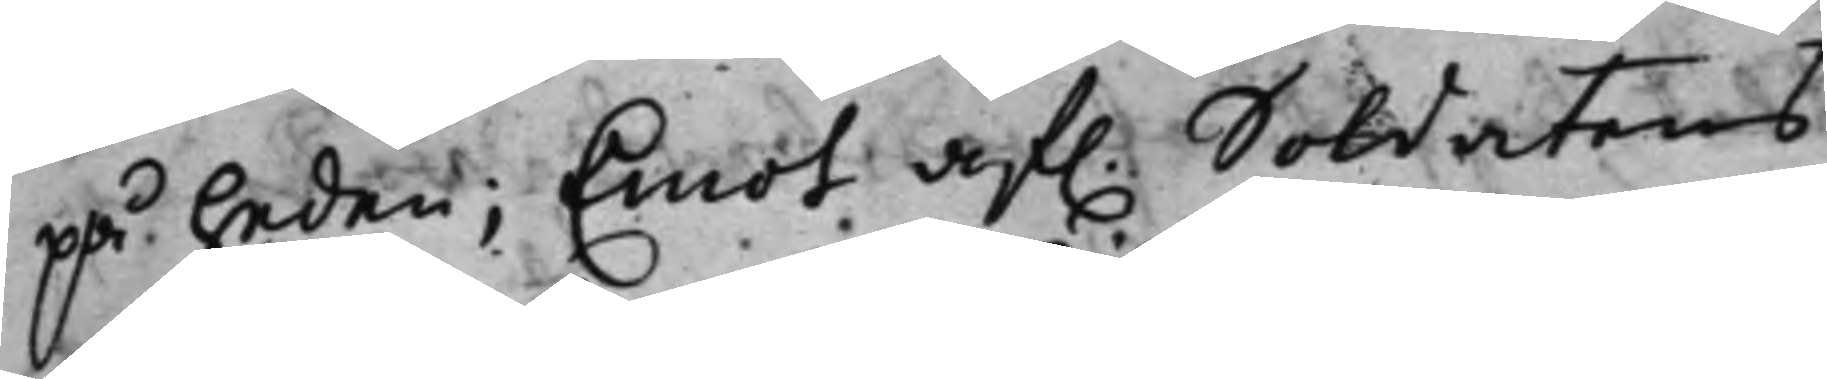på heden; Emot af. Soldatens
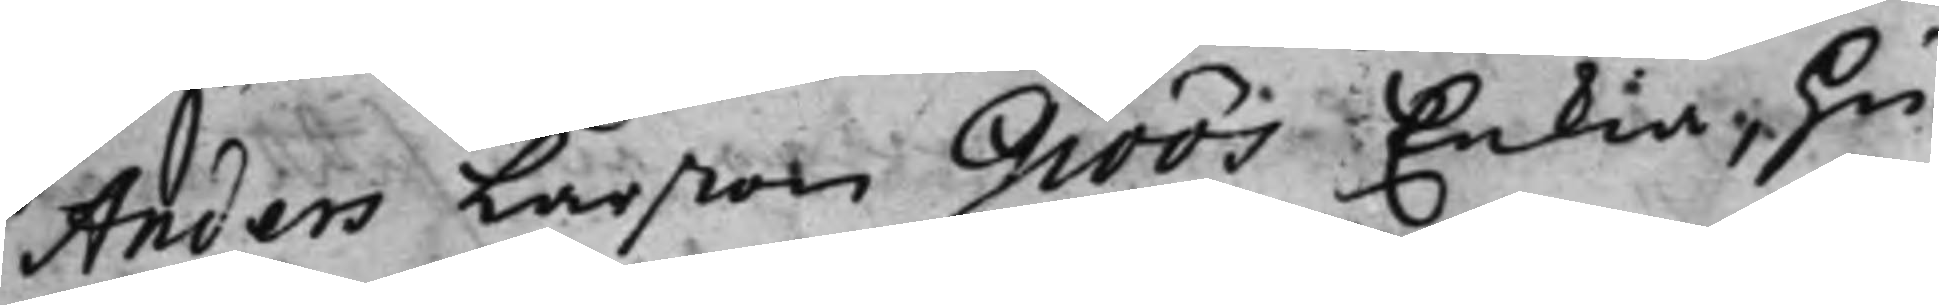Anders Larßon Giöös Enkia, hu¬
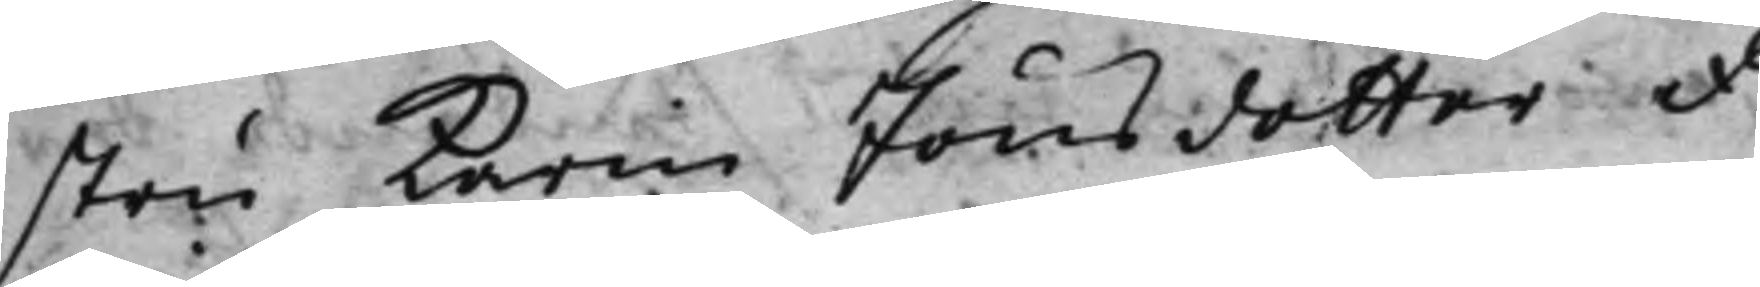stru Karin Jönsdotter &
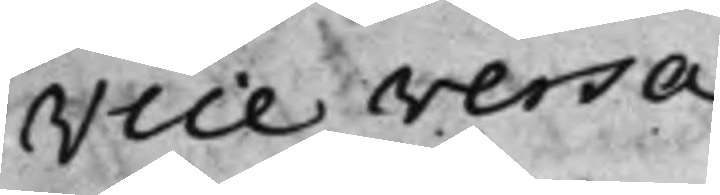Vice versa.
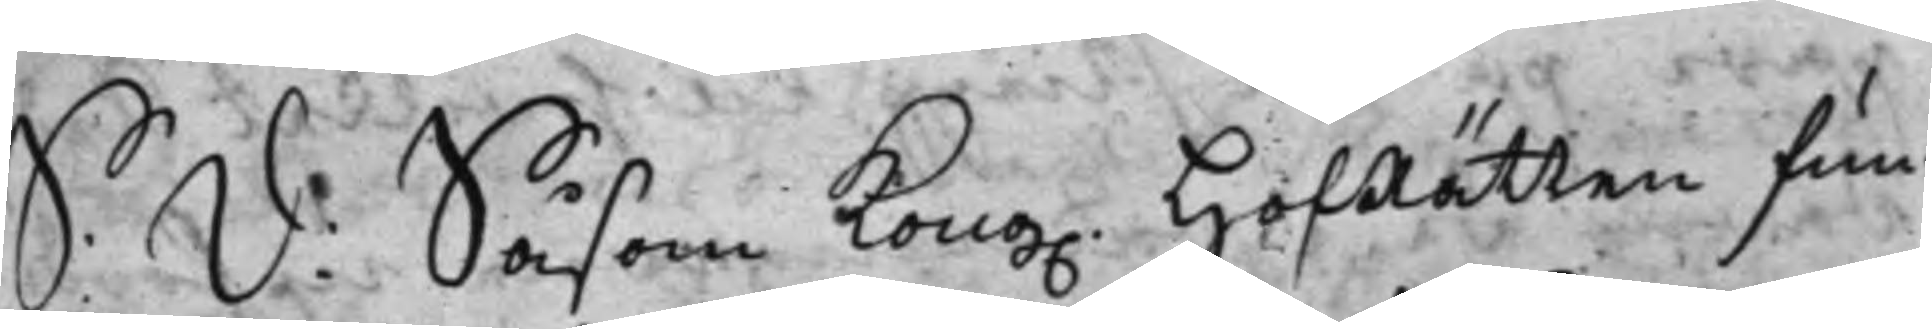S. d: Såsom Kong. HofRätten fun¬
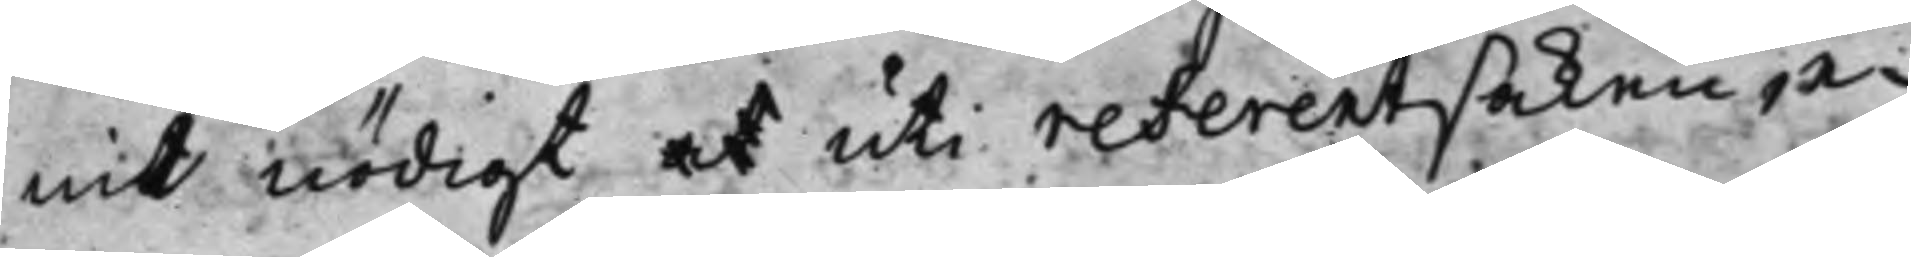nit nödigt at uti referentsaken, e¬
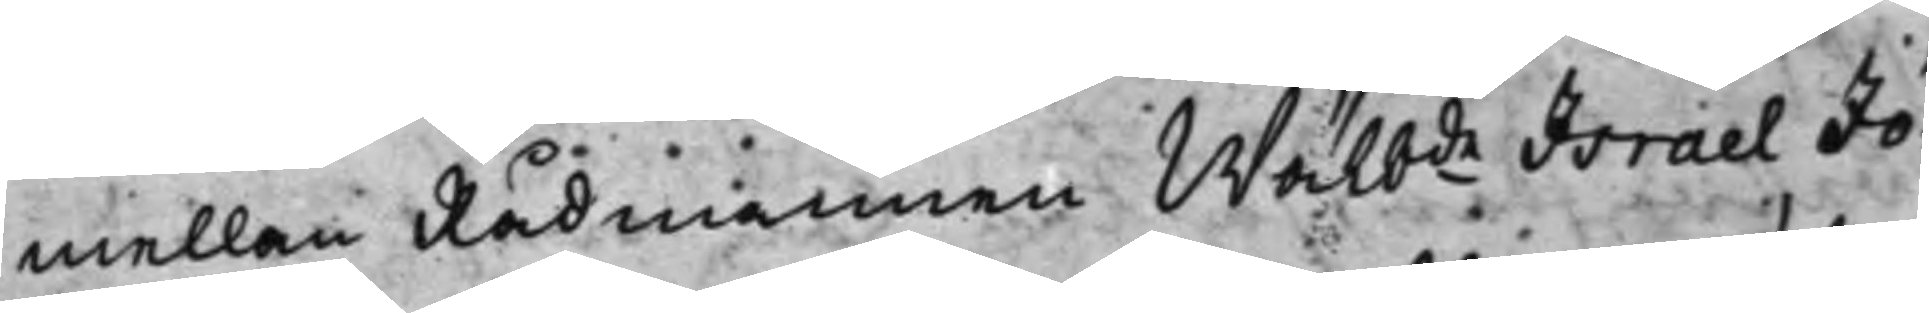mellan Rådmannen Wälb.de Israel Jö¬
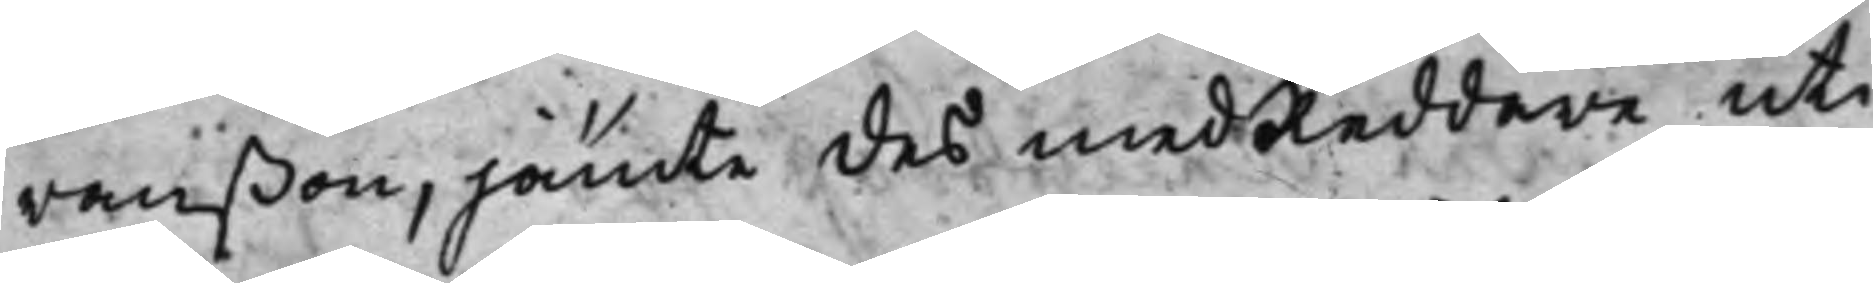ranßon, jämte des medReddare uti
